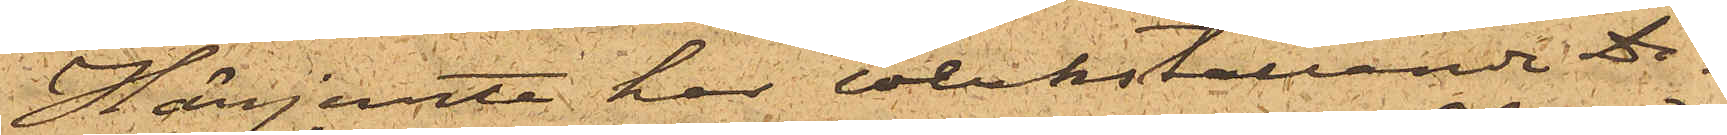Härjemte har verkställande Di¬
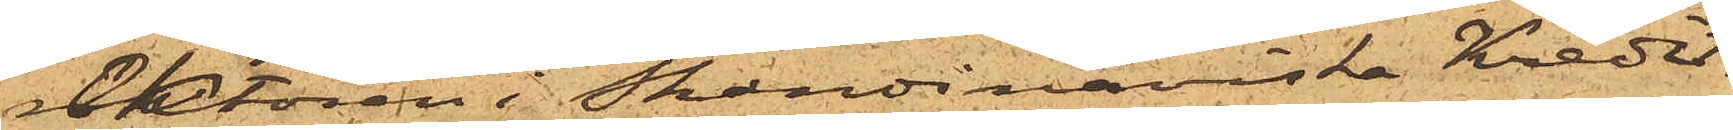rektören i Skandinaviska Kredit¬
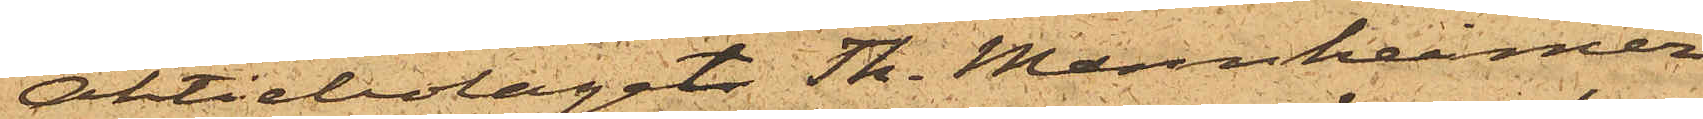Aktiebolaget Th. Mannheimer
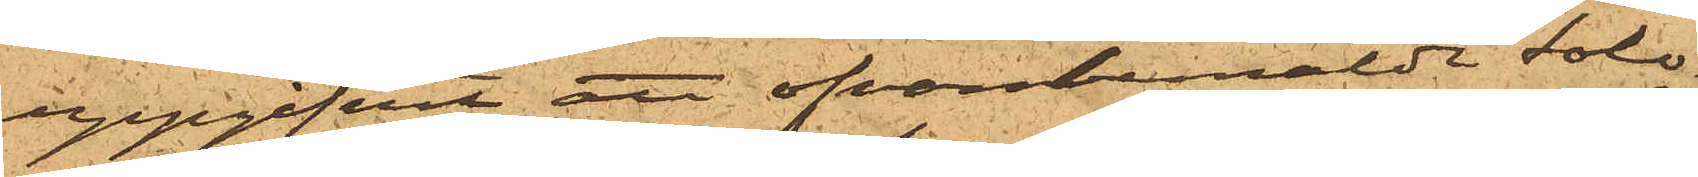uppgifvit att ofvanbemälde Solo¬
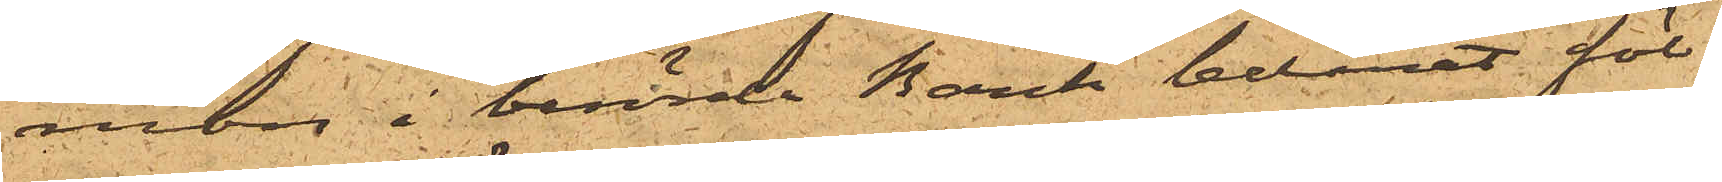mon i berörde Bank belånat föl¬
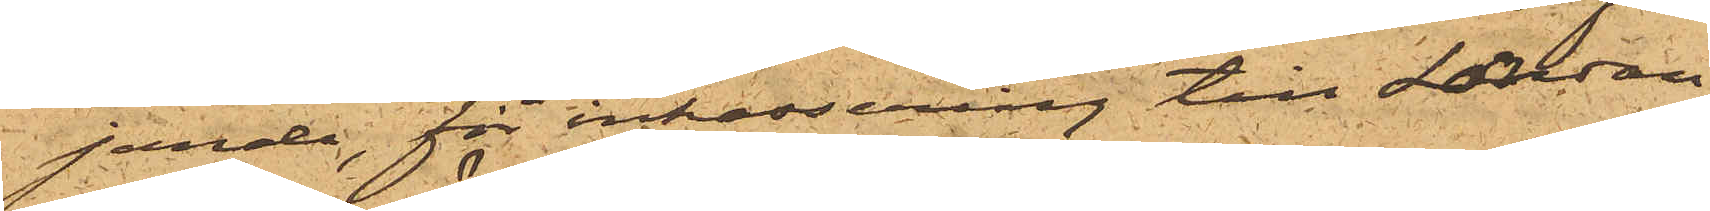jande, för inkassering till London,
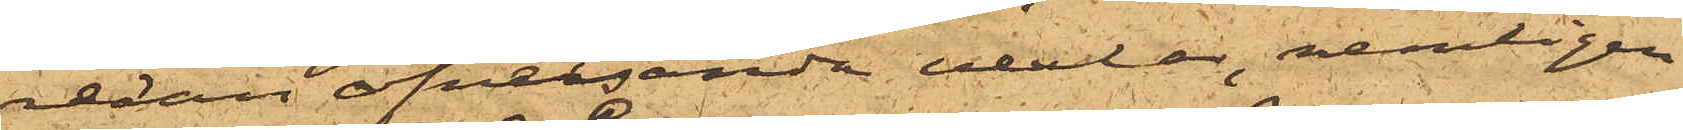redan öfversända vexlar, nemligen
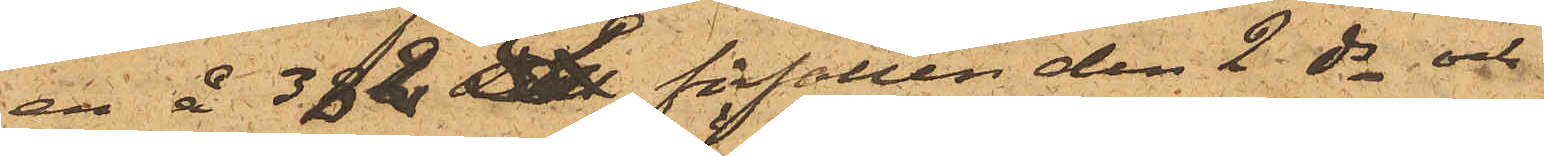en å 382£ förfallen den 2 ds och
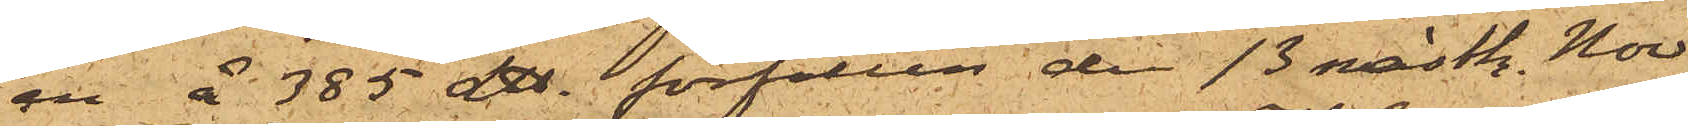en å 385£ förfallen den 13 nästk. Nov,
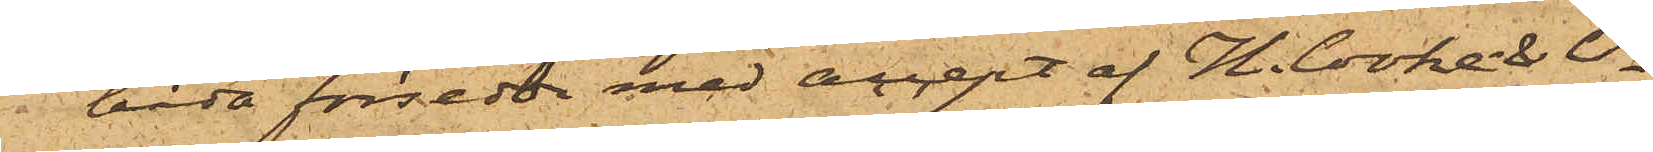båda försedda med accept af H. Cooke & Co,
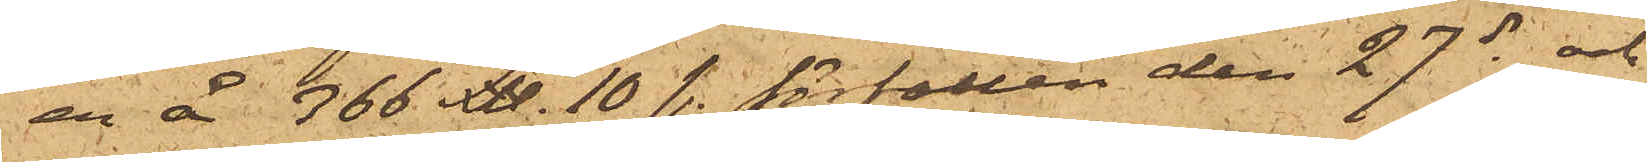en å 366£ 10 sh. förfallen den 27 ds och
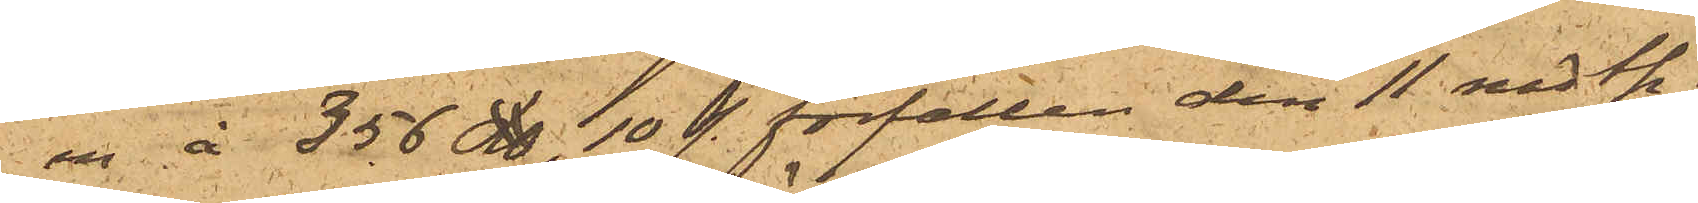en å 356£ 10 sh. förfallen den 11 nästk.
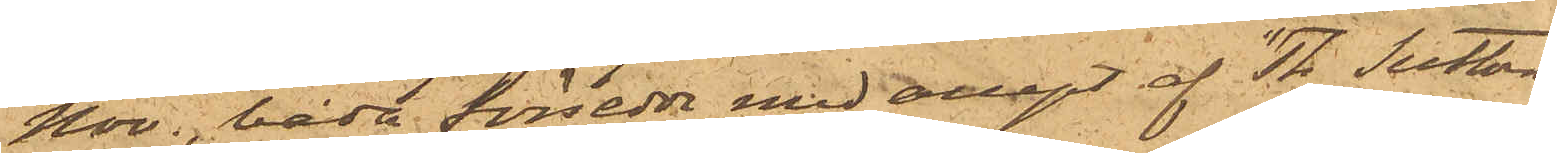Nov., båda försedda med accept af "Th Sutton
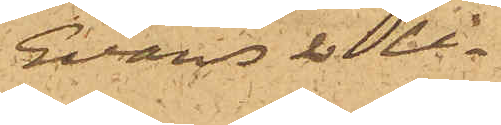Evans & Co.
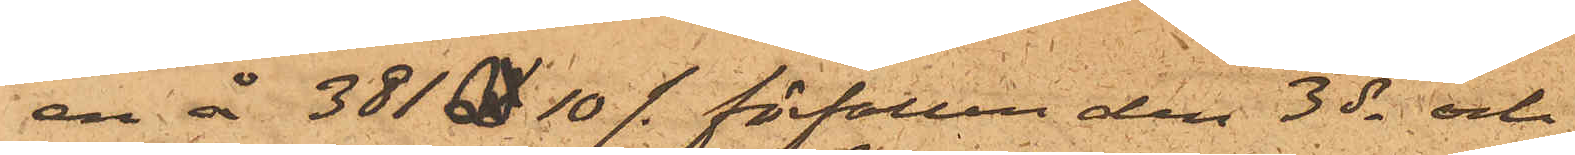en å 381£ 10/- förfallen den 3 ds och
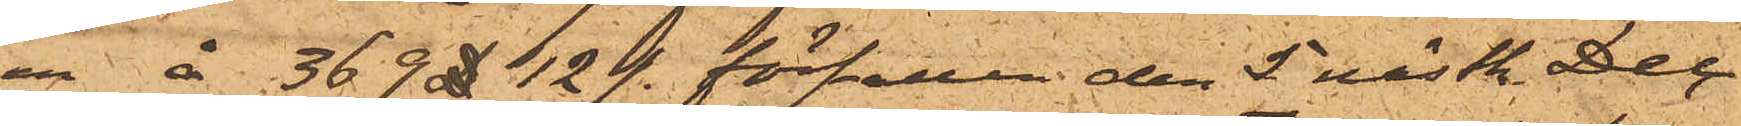en å 369£ 12 /- förfallen den 5 nästk. Dec,
